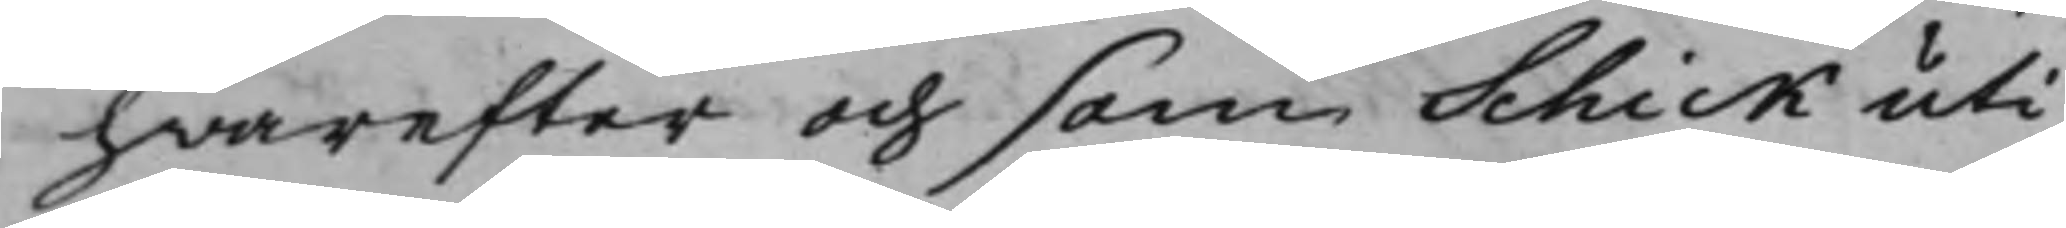hwarefter och som Schick uti
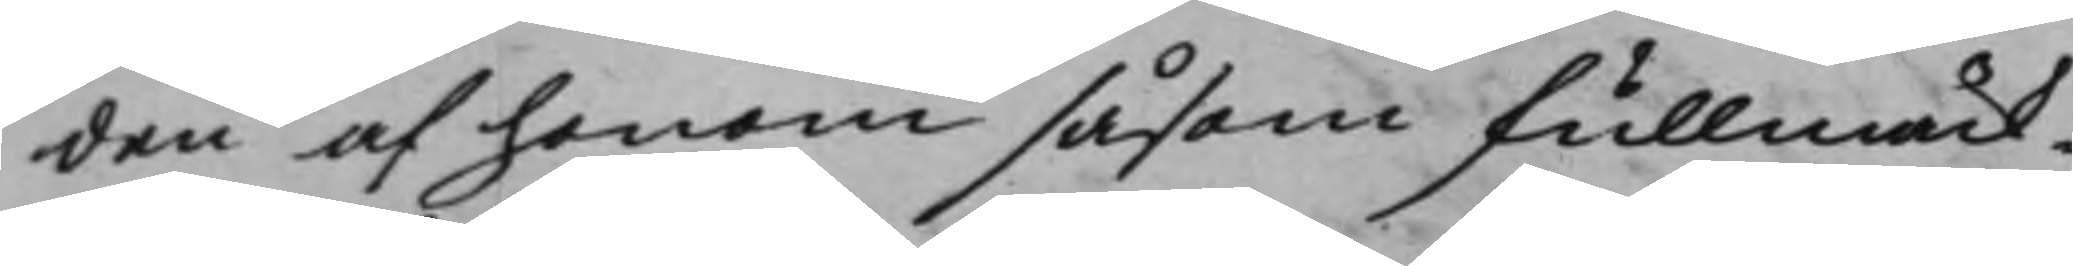den af honom såsom fullmäck¬
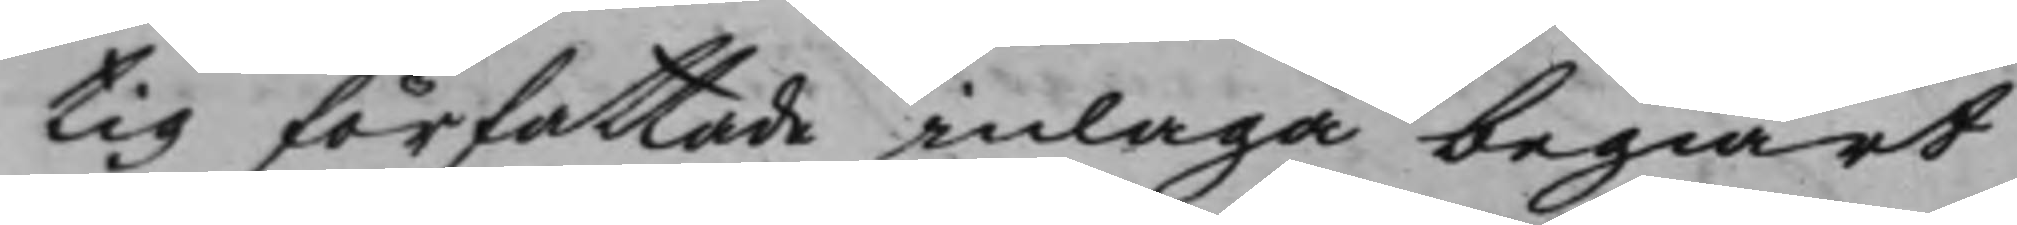tig författade inlaga begiärt
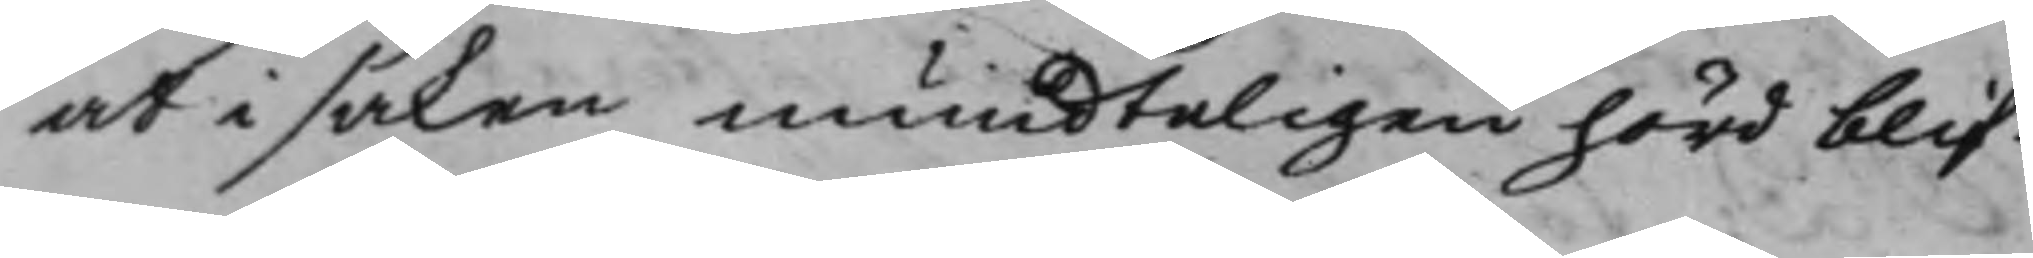at i saken mundteligen hörd blif¬
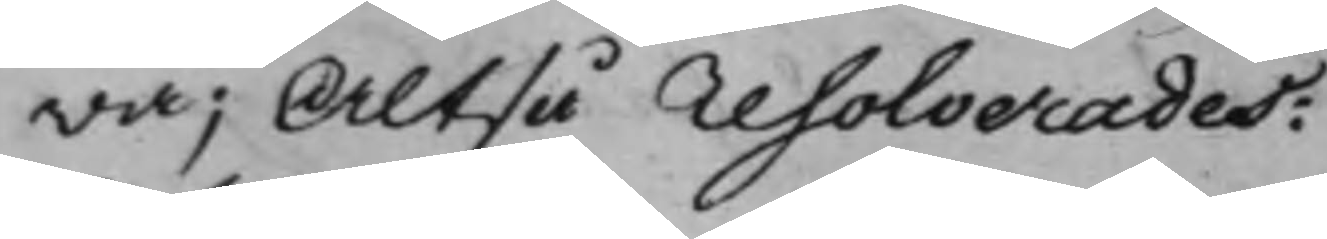wa; Altså resolverades:
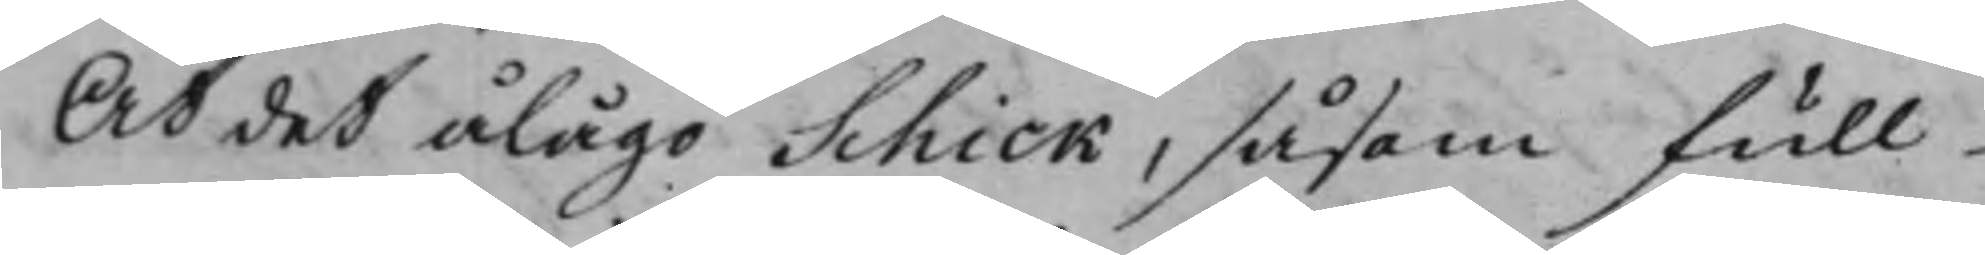At det ålågo Schick, såsom full¬
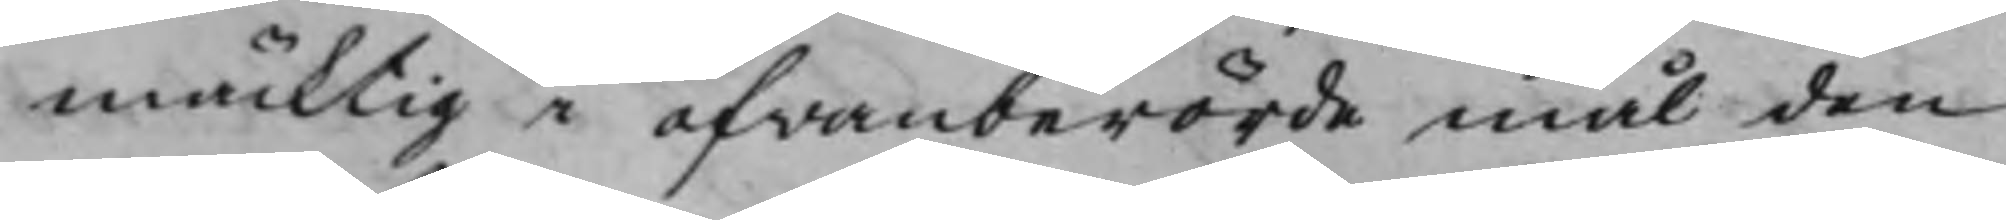mäcktig i ofwanberörde mål den
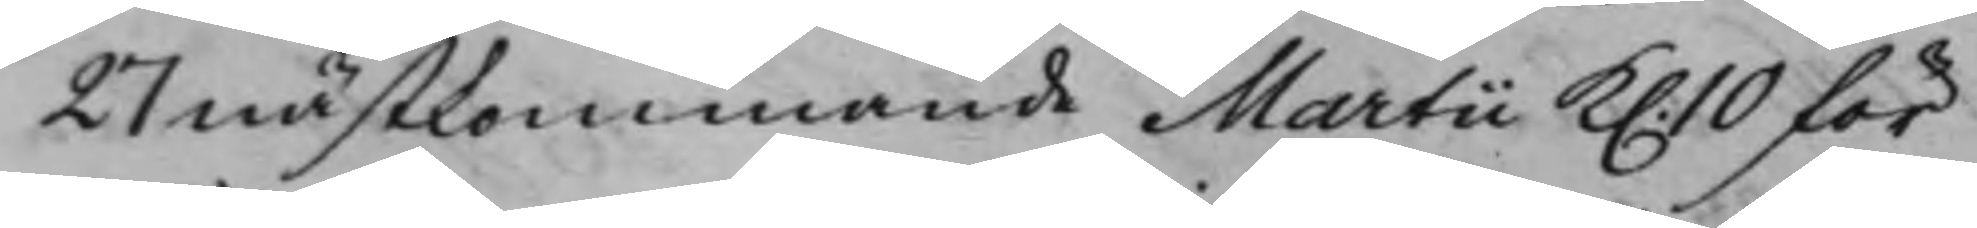27 nästkommande Martii K. 10 för¬
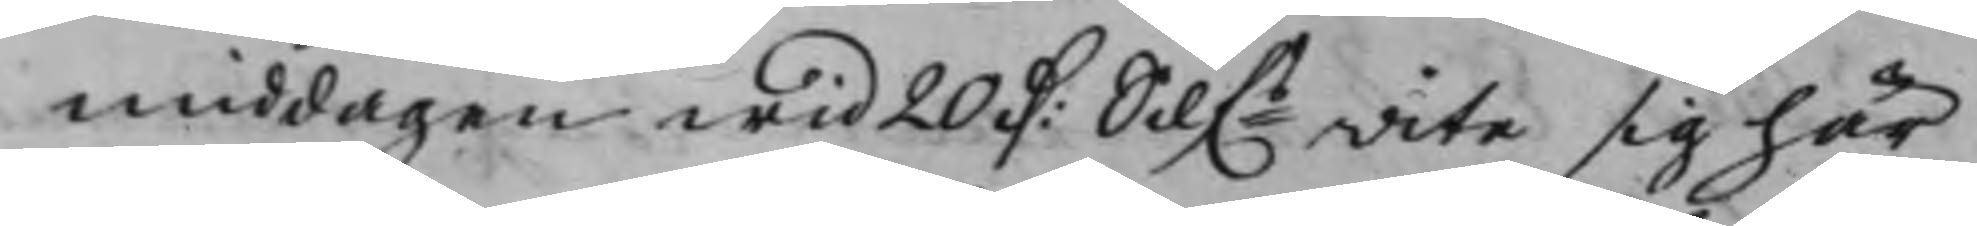middagen wid 20 D: Silf.s wite sig här
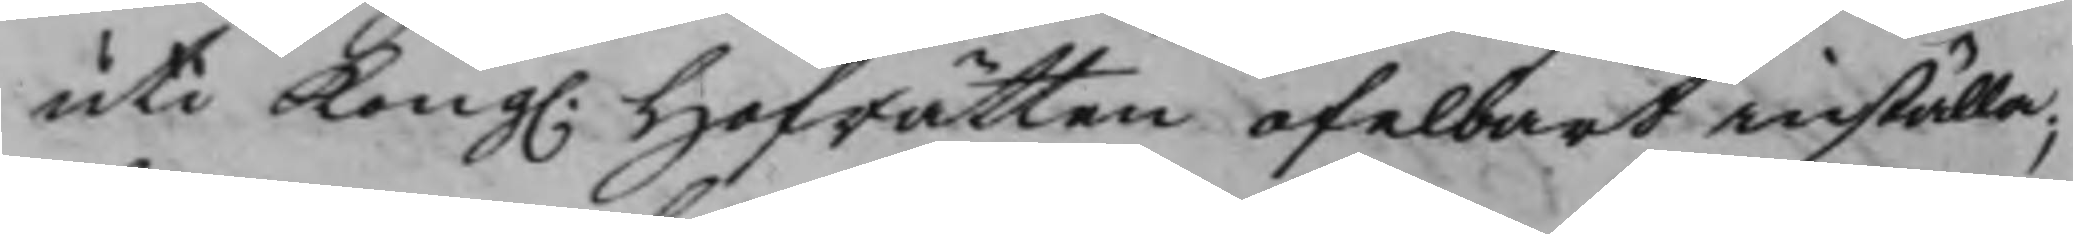uti Kong. Hofrätten ofelbart inställa;
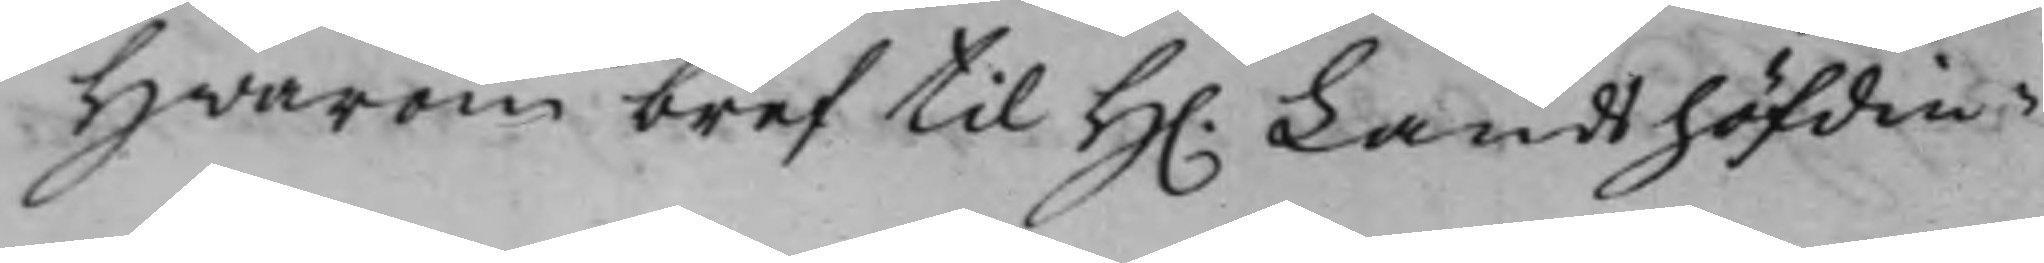Hwarom bref til H. Landshöfdin¬
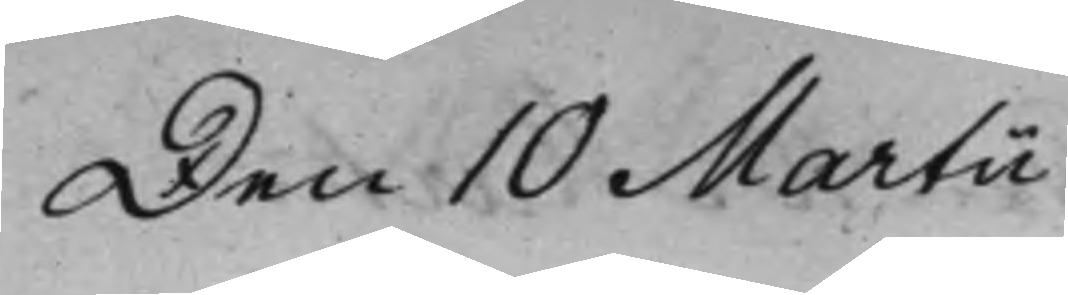Den 10 Martii
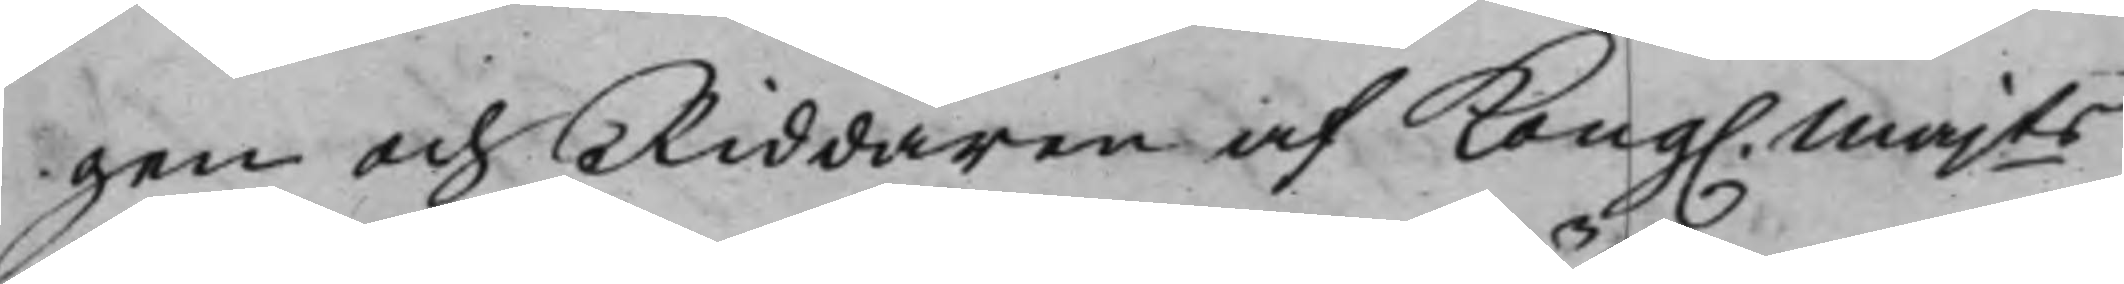gen och Riddaren af Kong. Majts
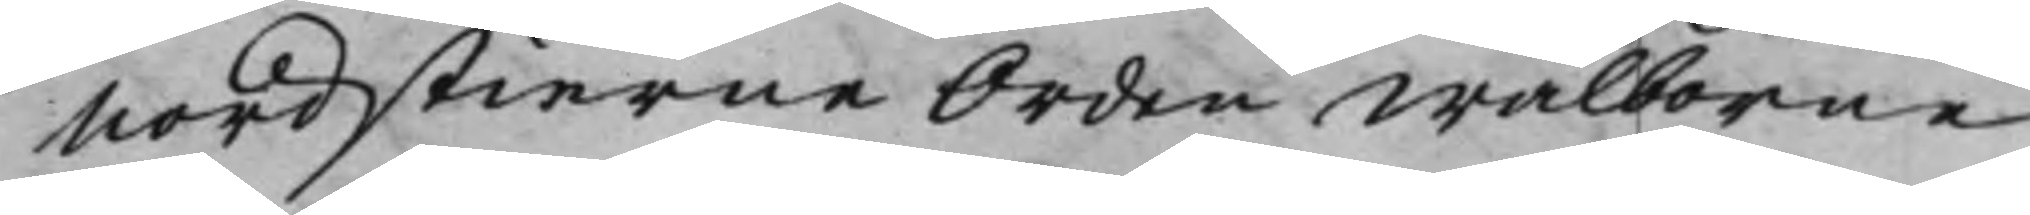Nordstierne Orden Wälborne
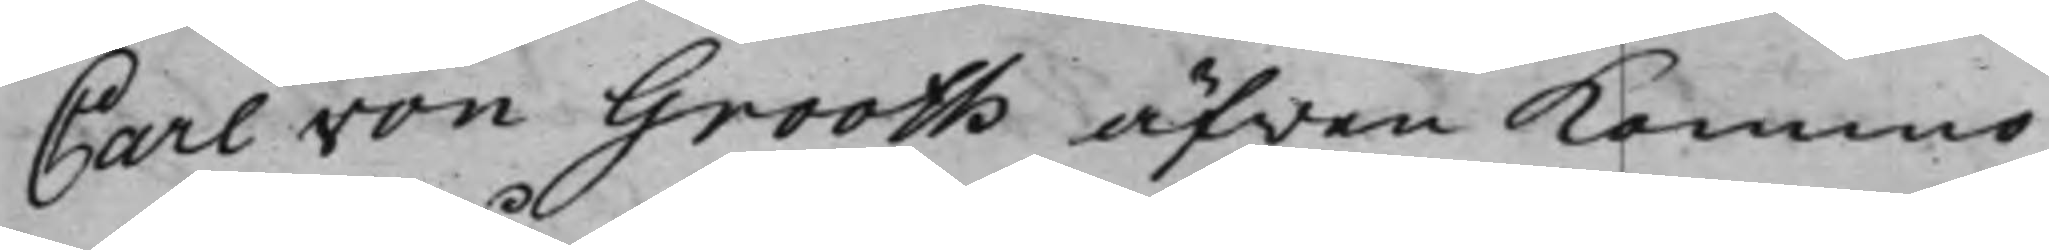Carl von Grooth äfwen kommo
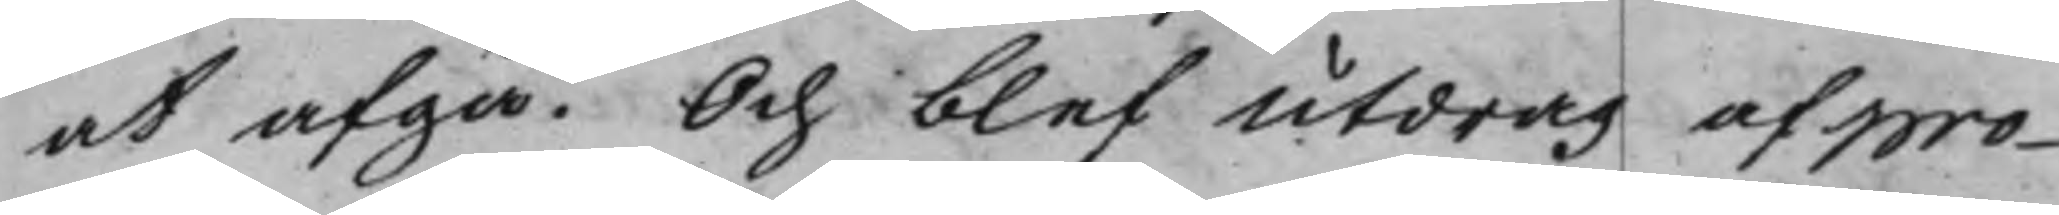at afgå. Och blef Utdrag af pro¬
